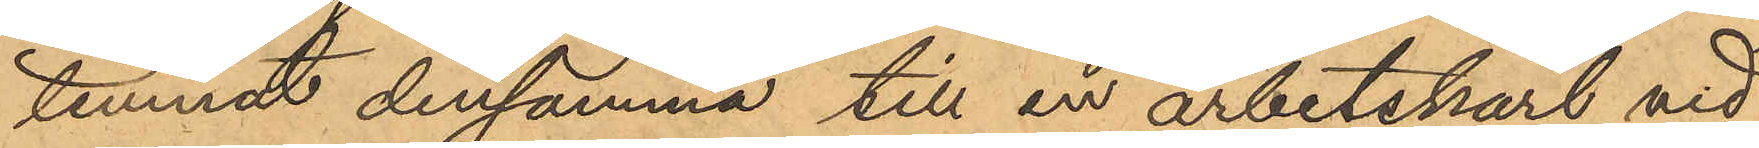lemnat densamma till en arbetskarl vid
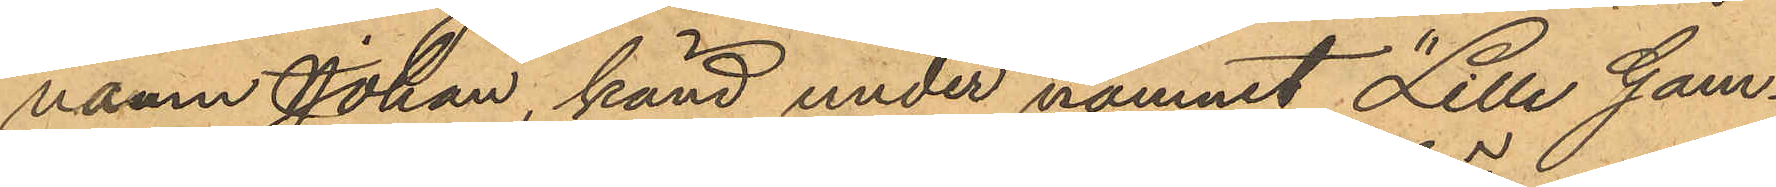namn Johan, känd under namnt "Lille Gam¬
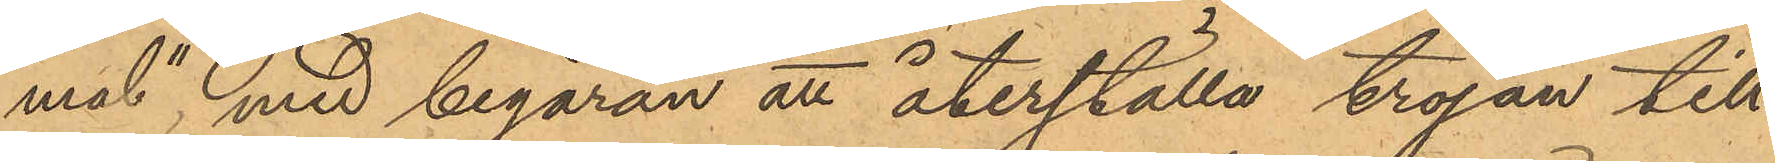mal", med begäran att återställa tröjan till
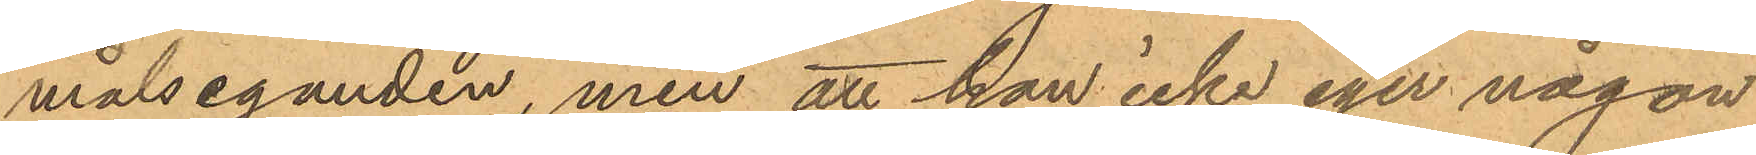målseganden, men att han icke eger någon
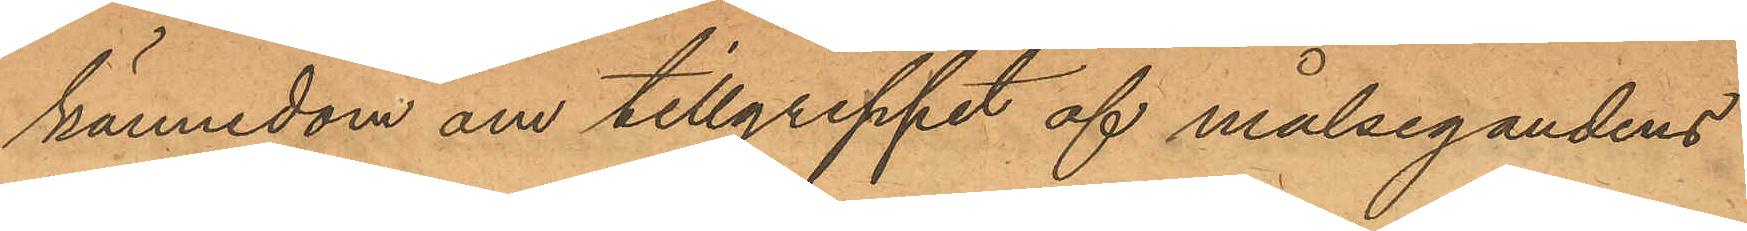kännedom om tillgreppet af målsegandens
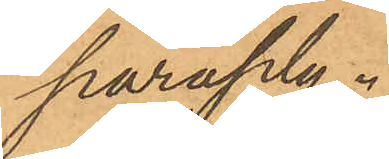paraply.
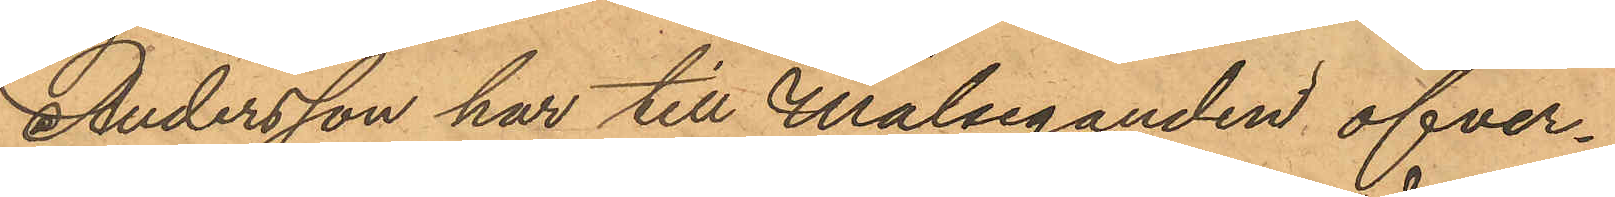Andersson har till målseganden öfver¬
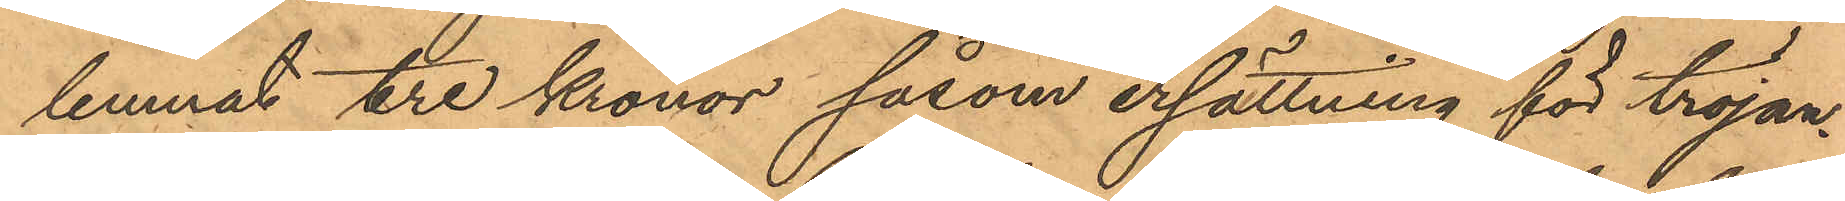lemnat tre kronor såsom ersättning för tröjan¬
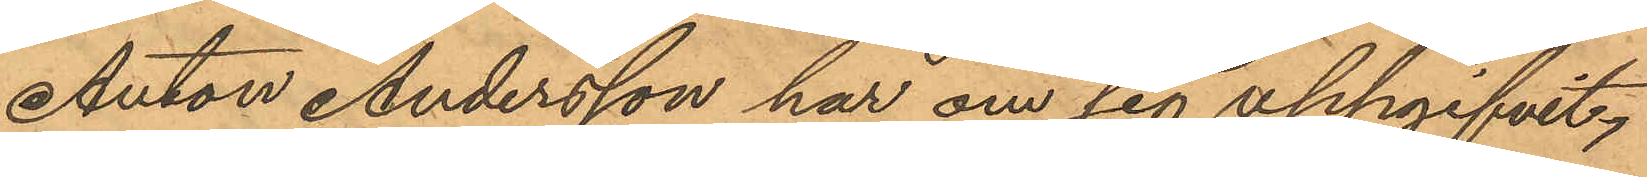Anton Andersson har om sig uppgifvit,
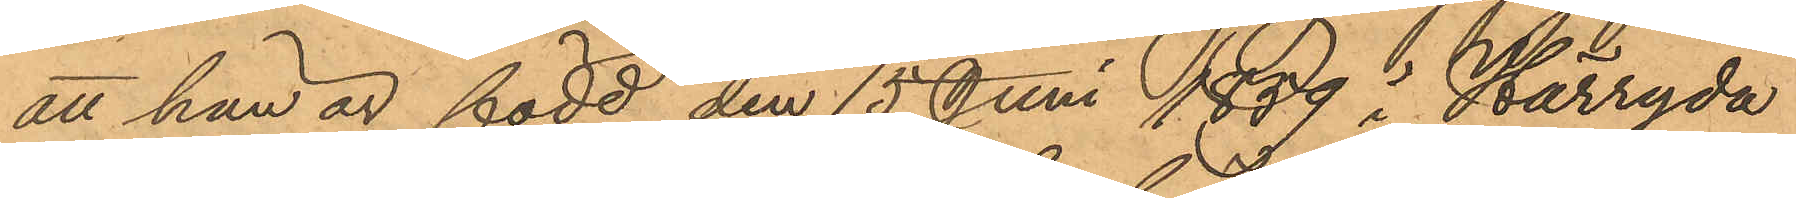att han är född den 15 Juni 1839 i Härryda
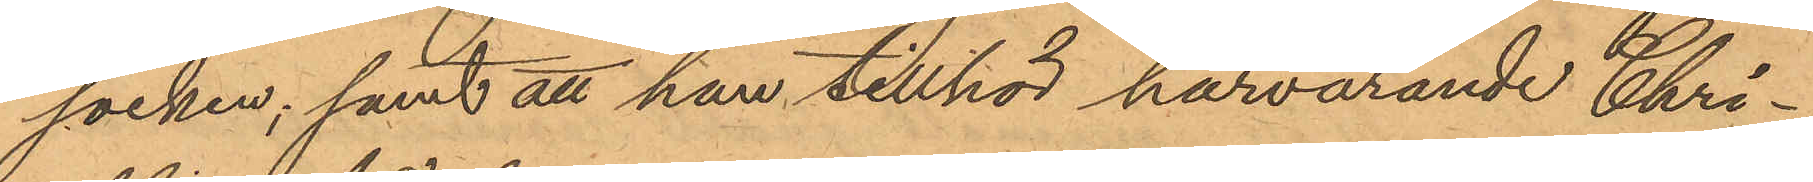socken; samt att han tillhör härvarande Chri¬
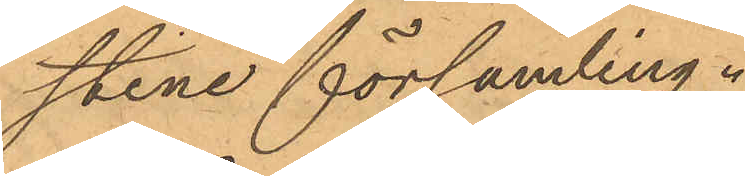stine församling.
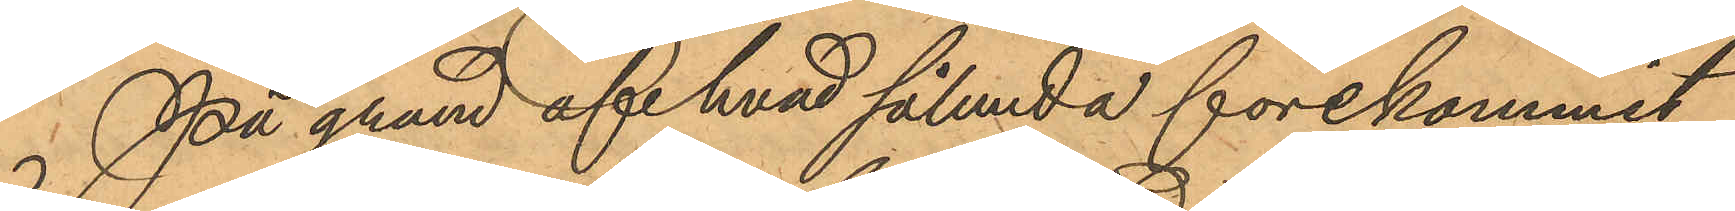På grund af hvad sålunda förekommit
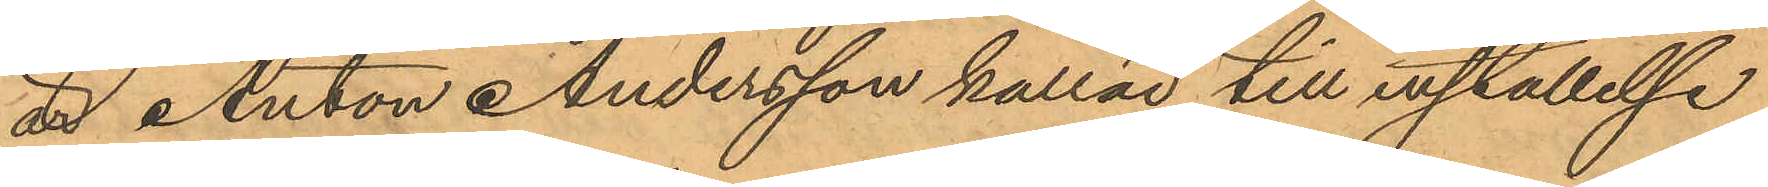att Anton Andersson kallad till inställelse
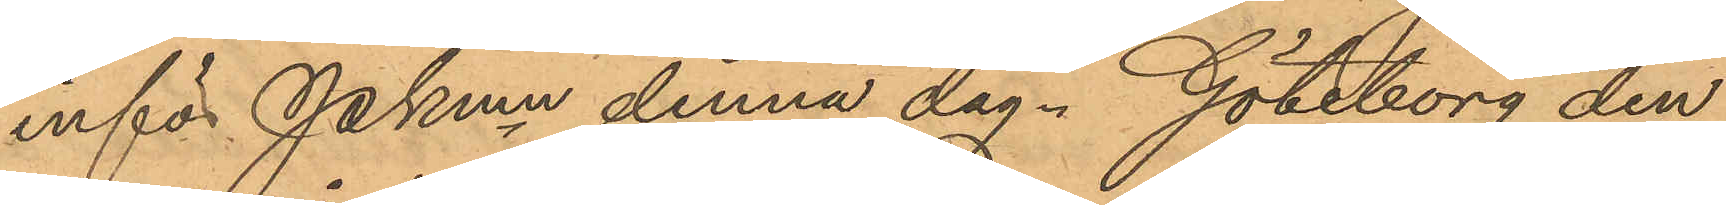inför Pkmn denna dag. Göteborg den
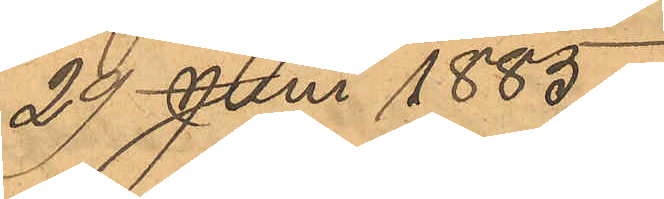24 Juni 1883.
